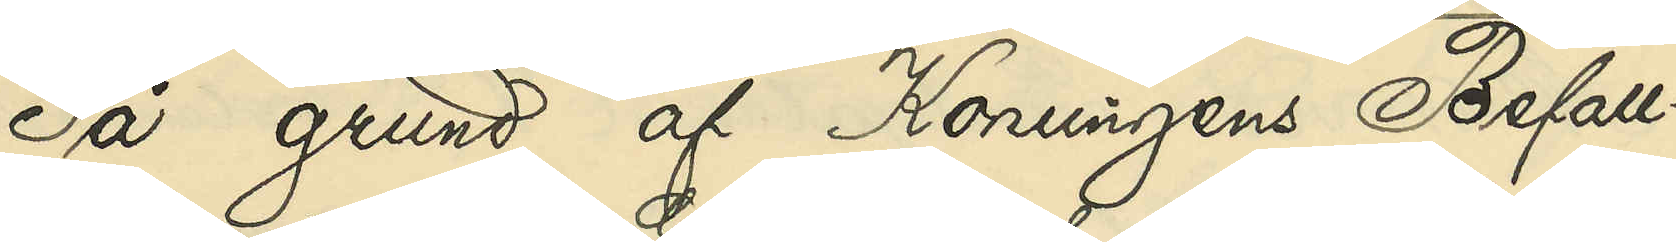På grund af Konungens Befall¬
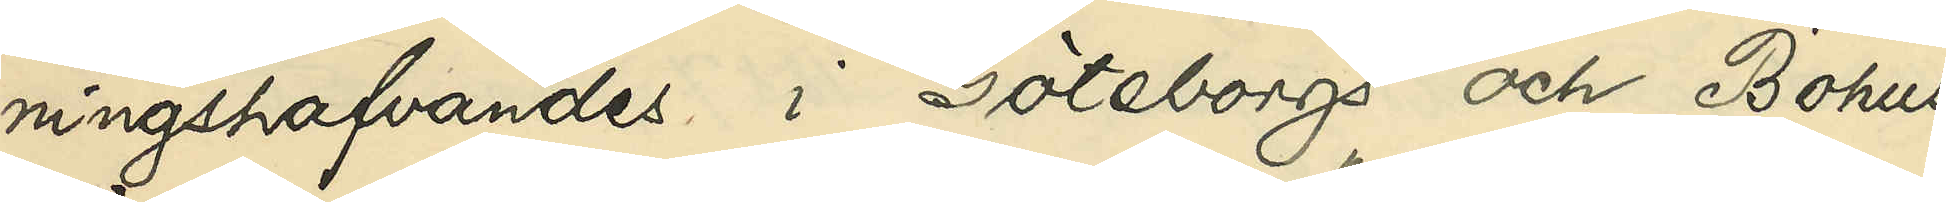ningshafvandes i Göteborgs och Bohus
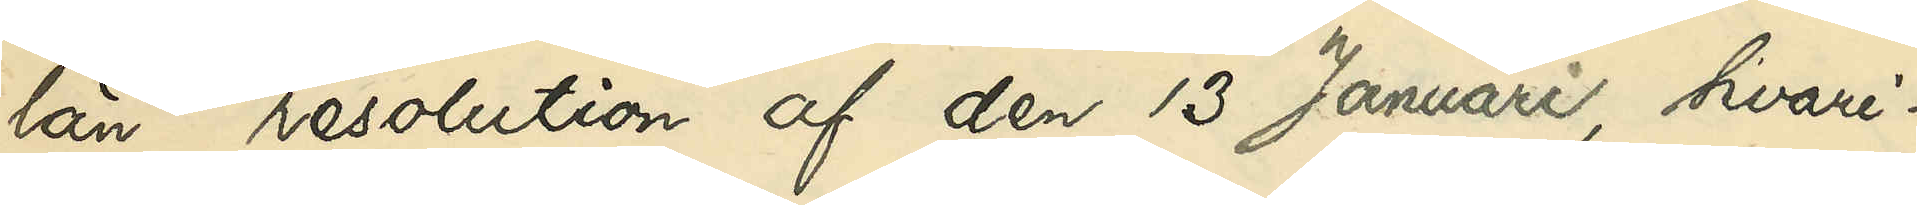län resolution af den 13 Januari, hvari¬
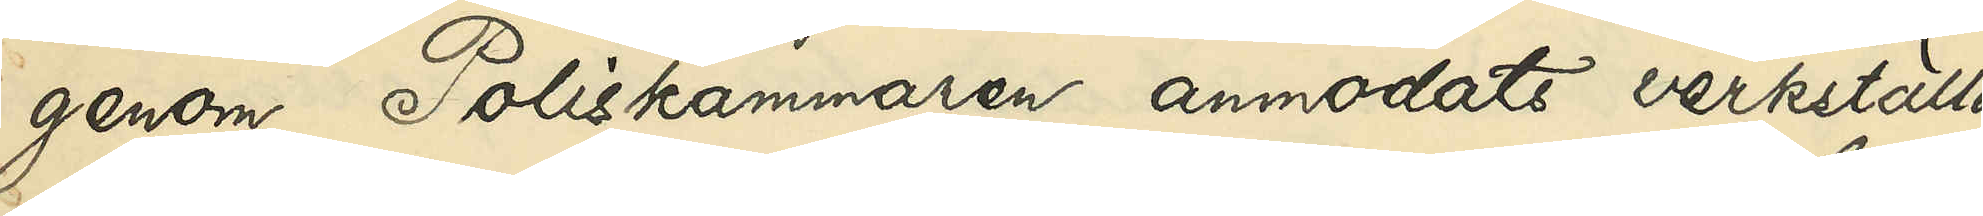genom Poliskammaren anmodats verkställa
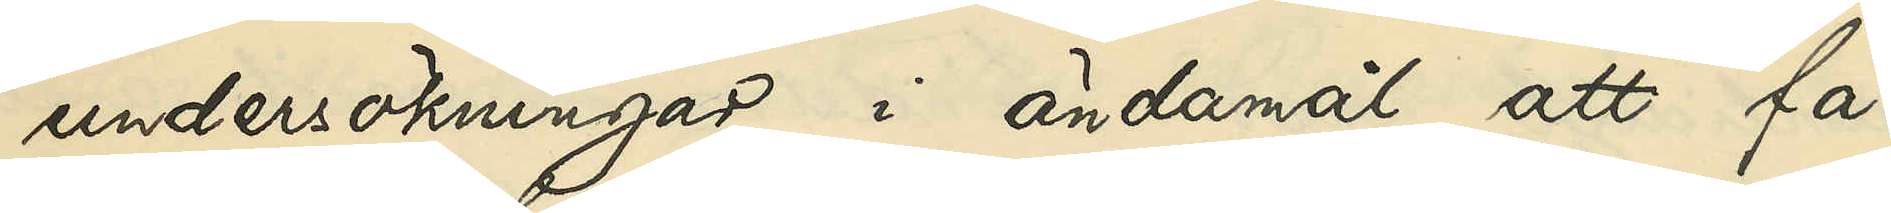undersökningar i ändamål att få
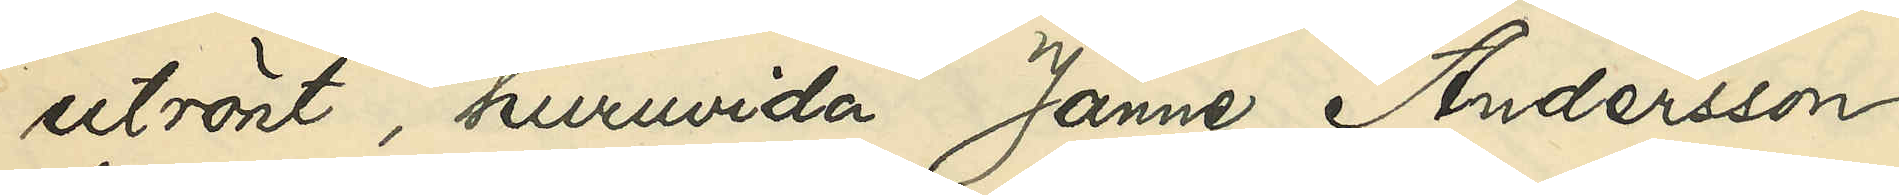utrönt, huruvida Janne Andersson
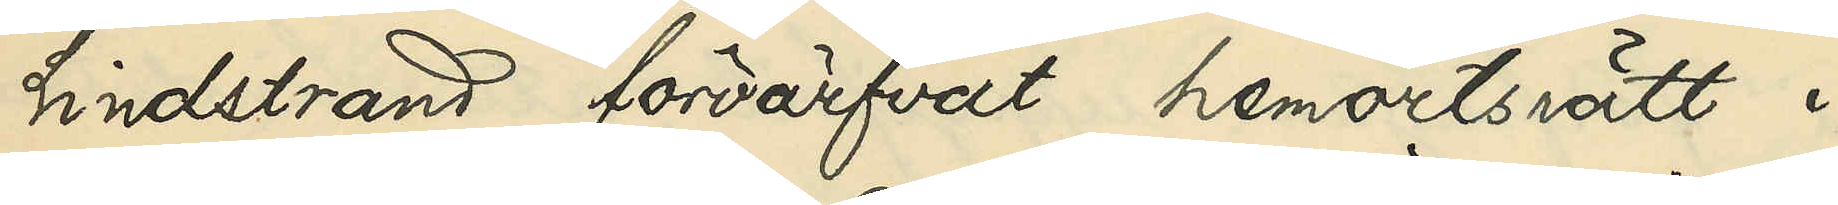Lindstrand förvärfvat hemortsrätt i
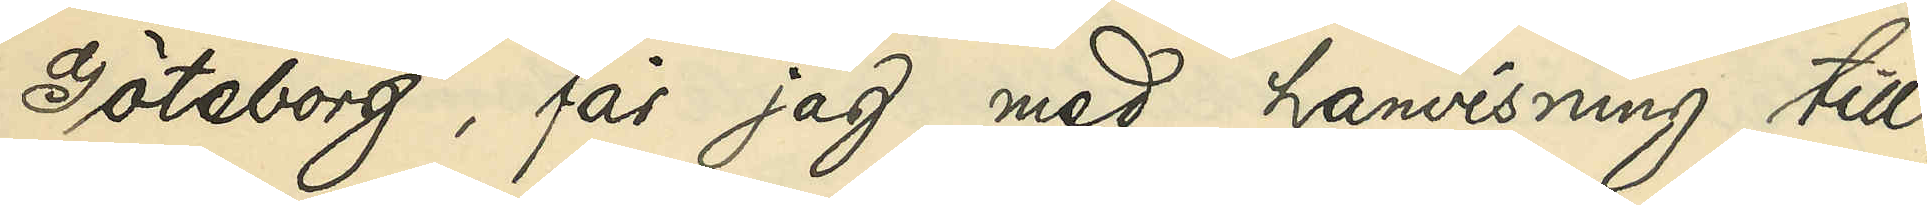Göteborg, får jag med hänvisning till
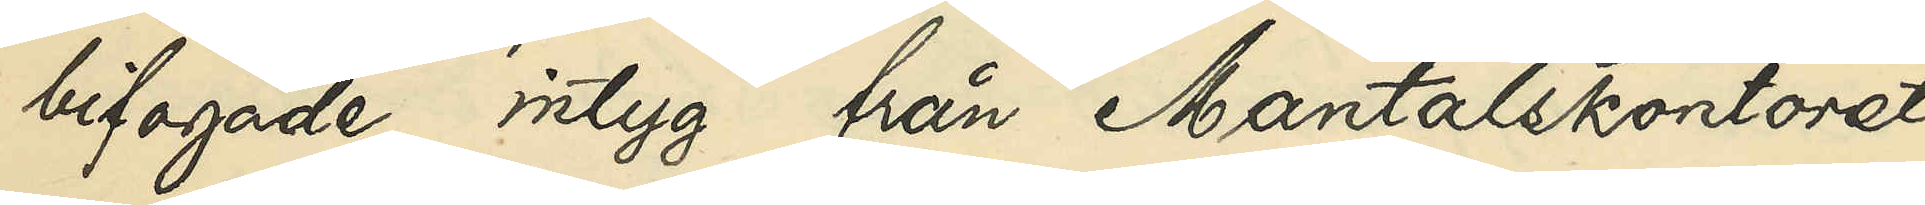bifogade intyg från Mantalskontoret
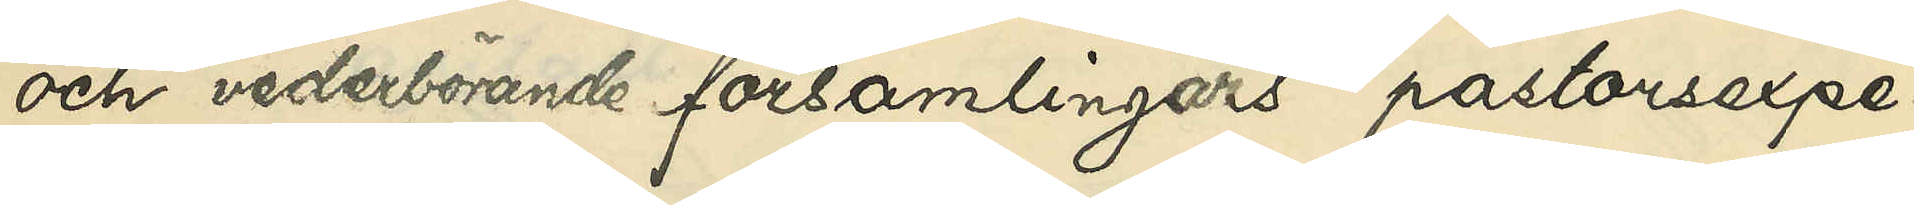och vederbörande församlings pastorsexpe¬
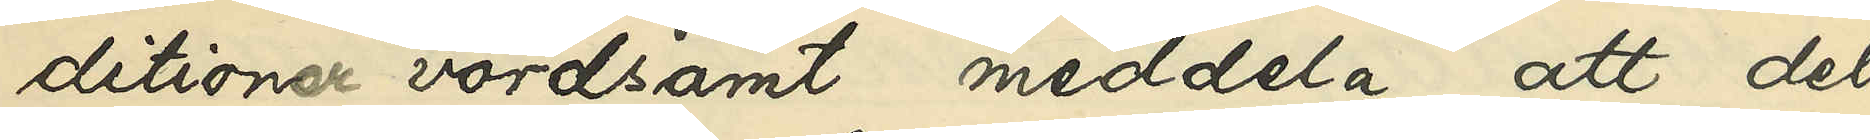ditioner vördsamt meddela, att det
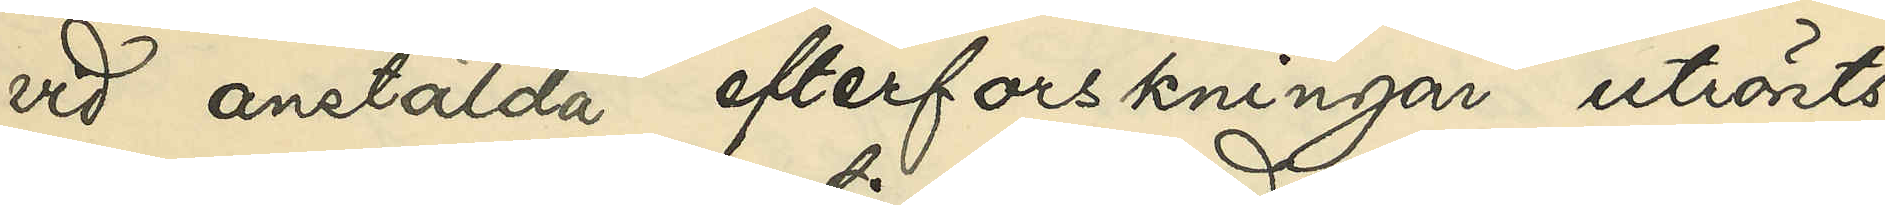vid anstälda efterforskningar utrönts
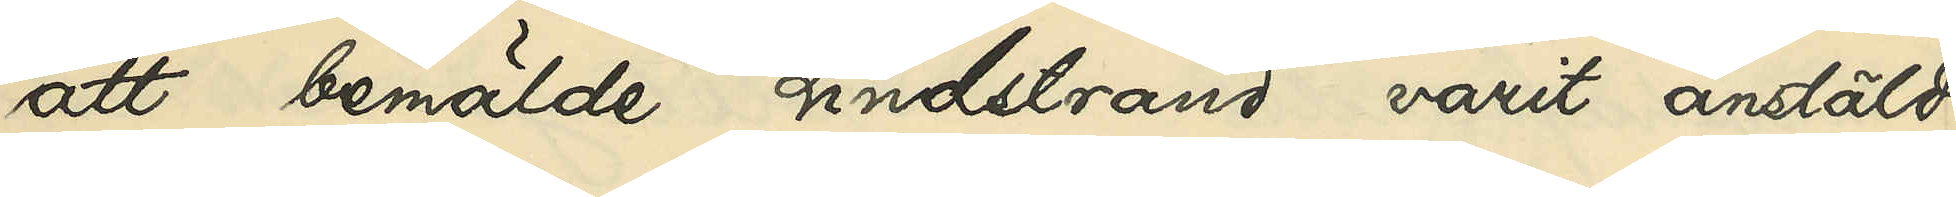att bemälda Lindstrand varit anstäld
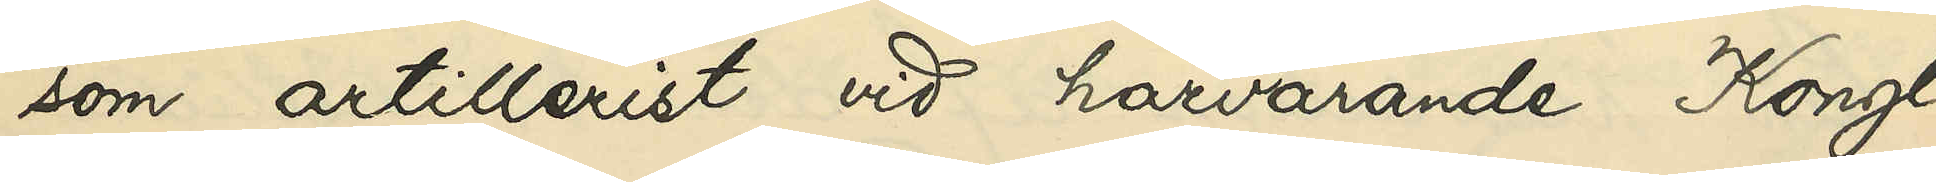som artillerist vid härvarande Kongl.
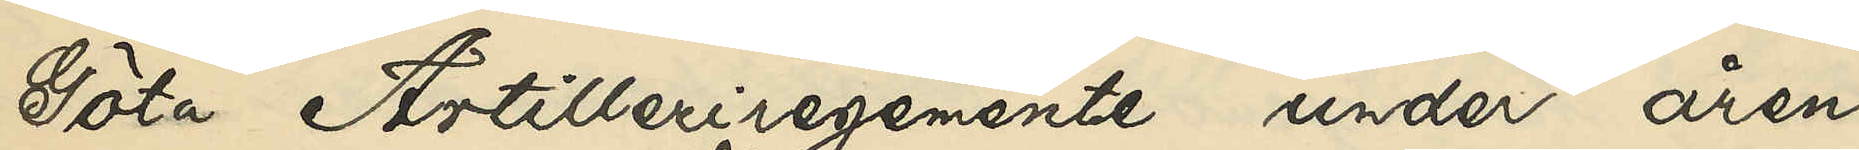Göta Artilleriregemente under åren
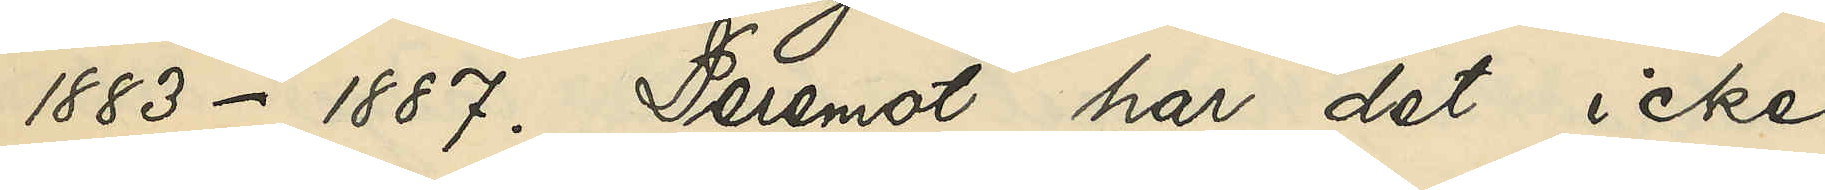1883-1887. Deremot har det icke
